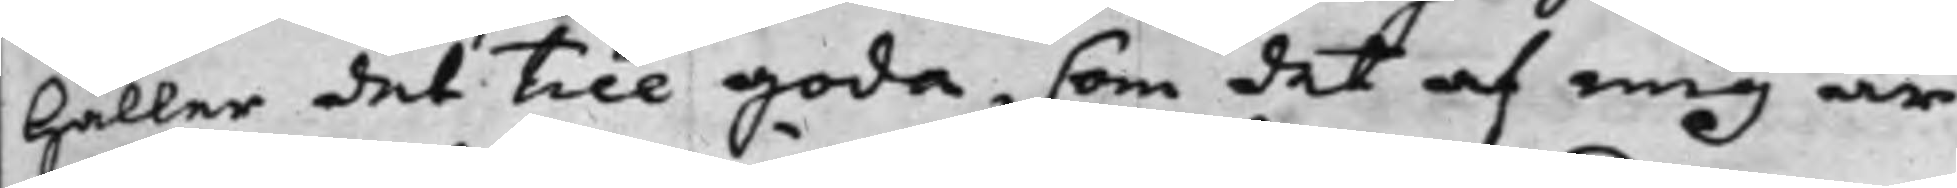håller det till goda, som det af mig är
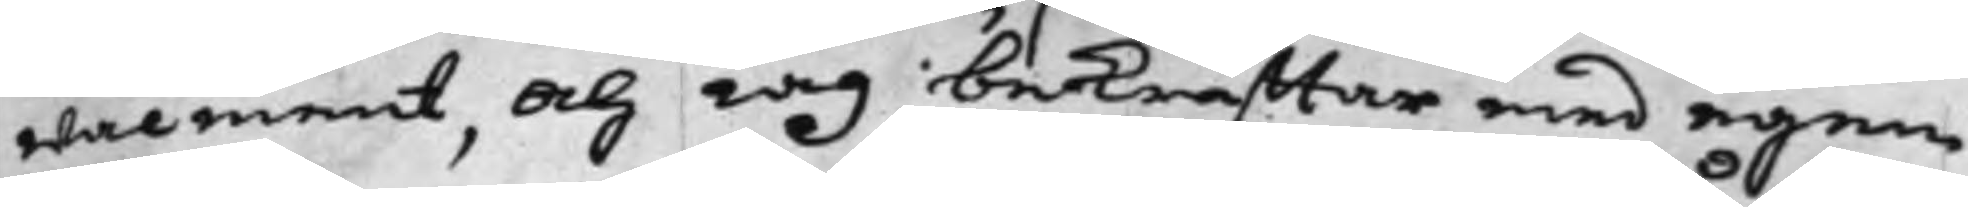wälment, och iag bekräfftar med egen
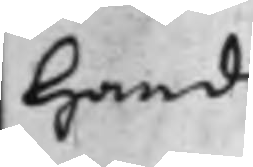hand.
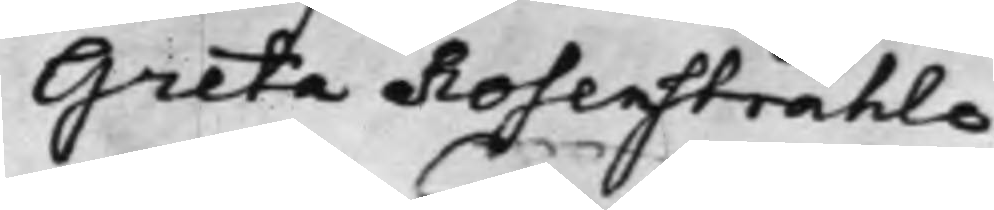Greta Rosenstråhle.
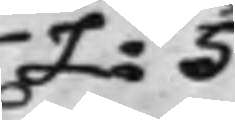L: S
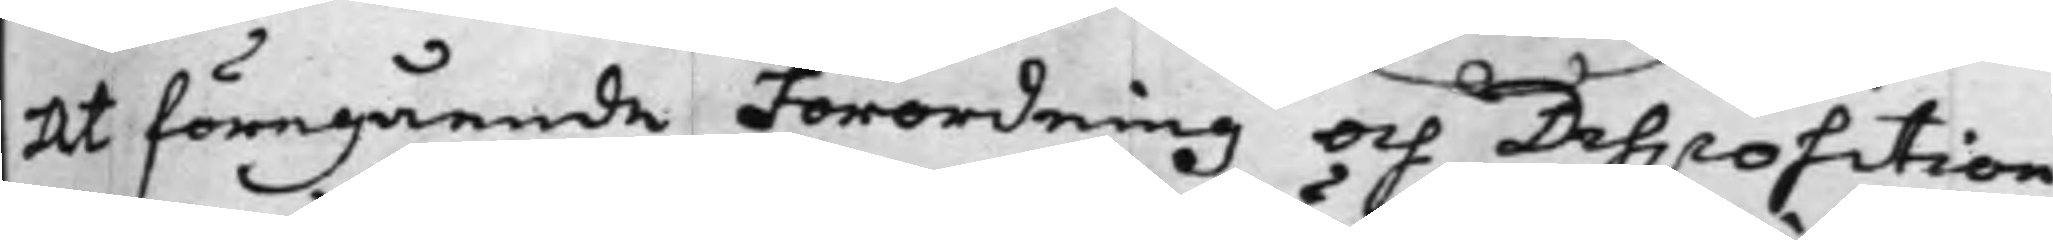At föregående Förordning och Disposition,
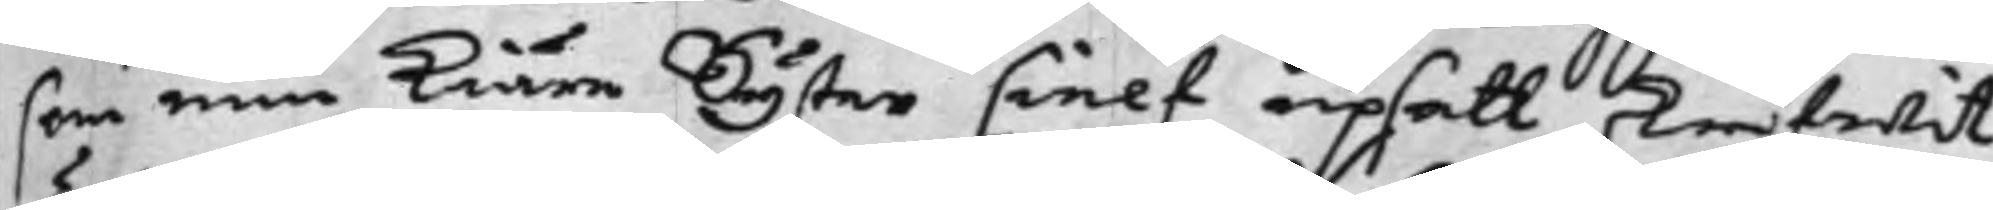som min Kiäre Syster sielf upsatt, skrifwit,
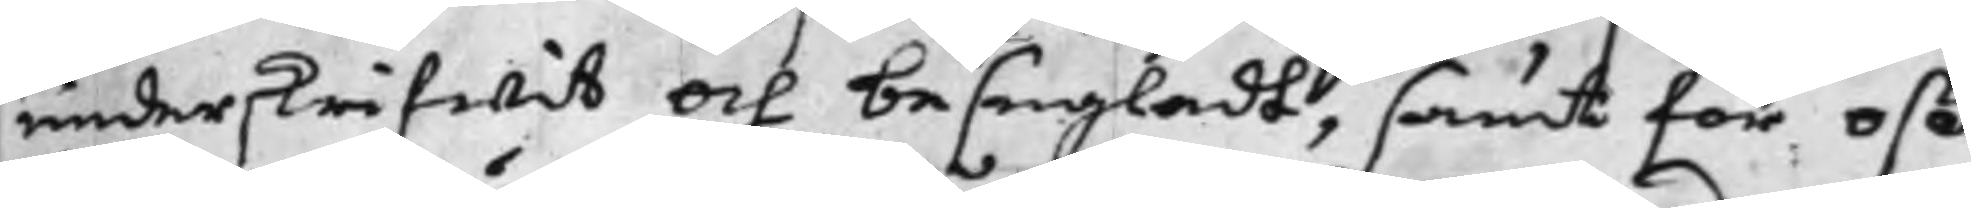underskrifwit och besegladt, samt för oß
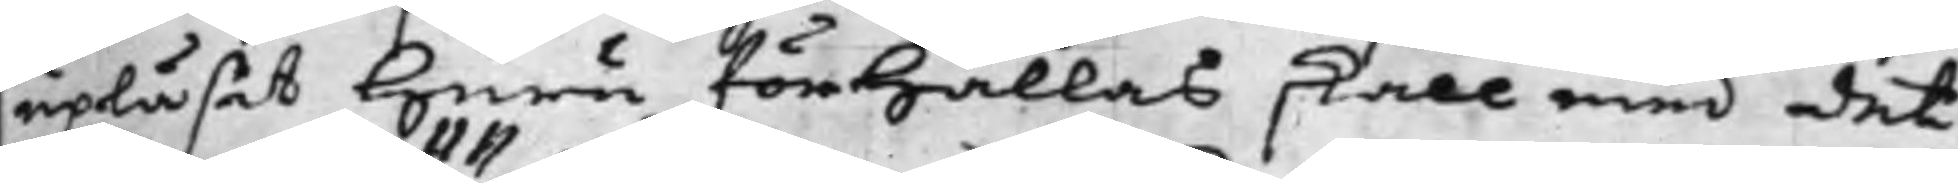upläsat huru förhållas skall med det
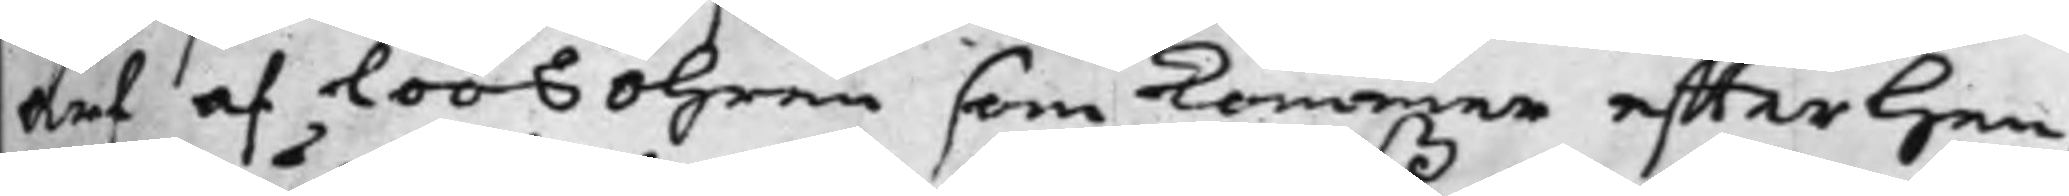Arf och Löösöhren som kommer effter hen¬
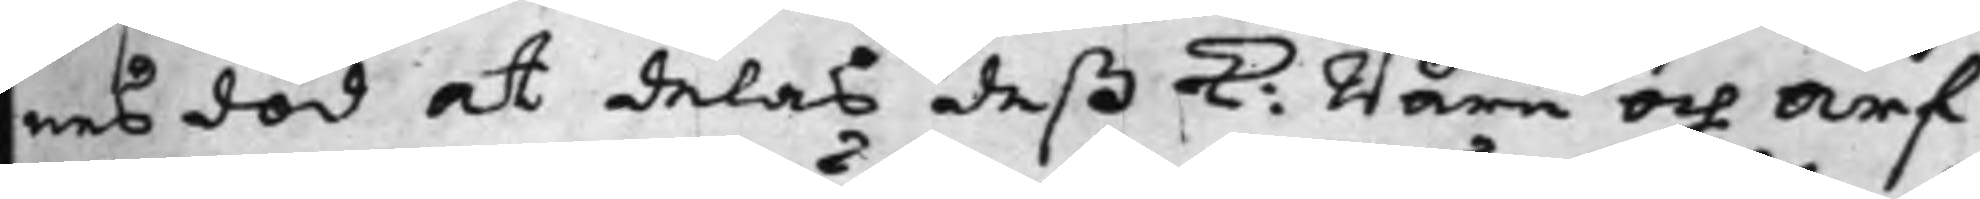nes död at delas deß K: Barn och Arf¬
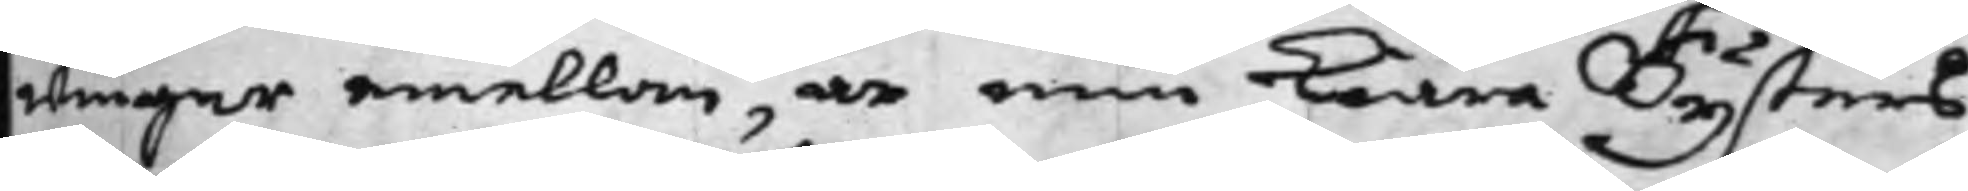wingar emellan, är min Kiära Systers
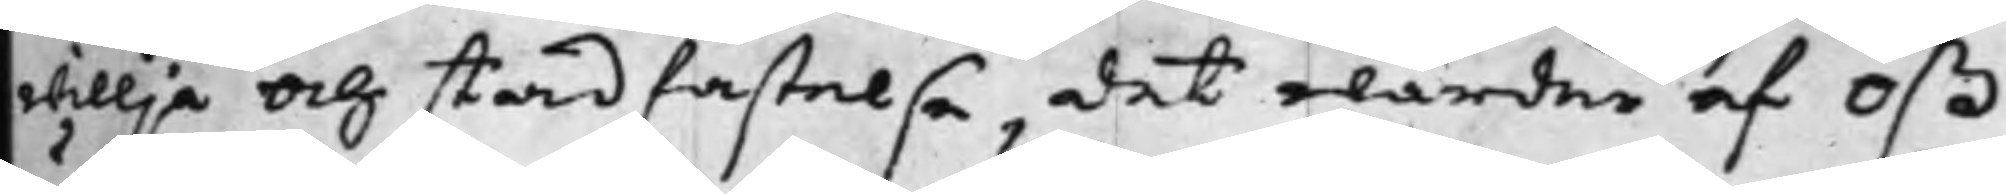willja och stadfästelse, det warder af oß
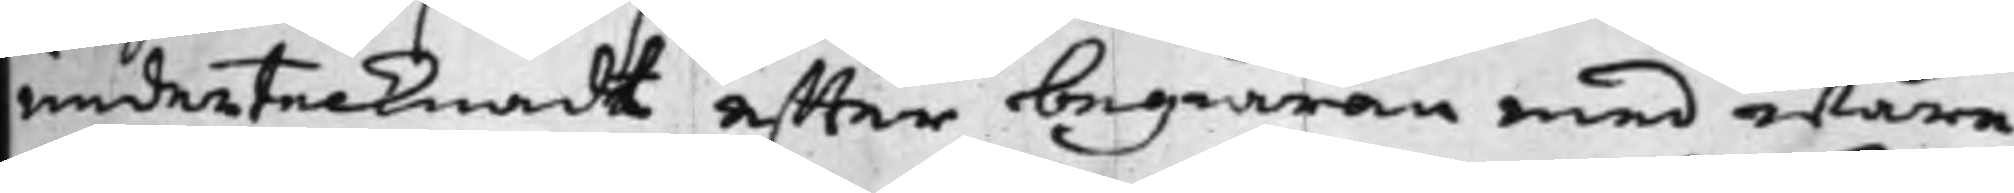undertecknadt effter begiäran med wåre
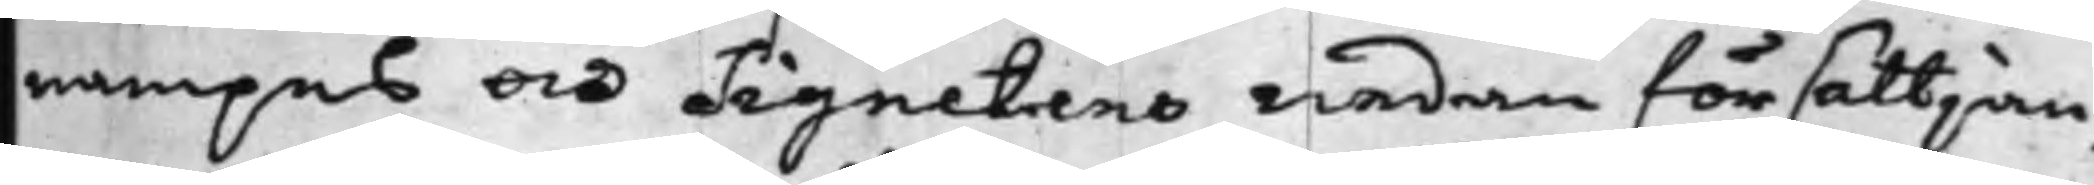nampns och Signetens nedan försättjan¬
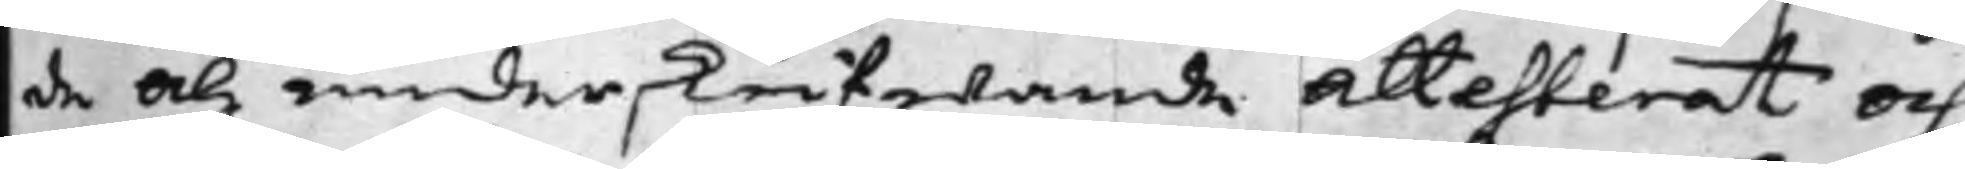de och underskrifwande Attesterat och
